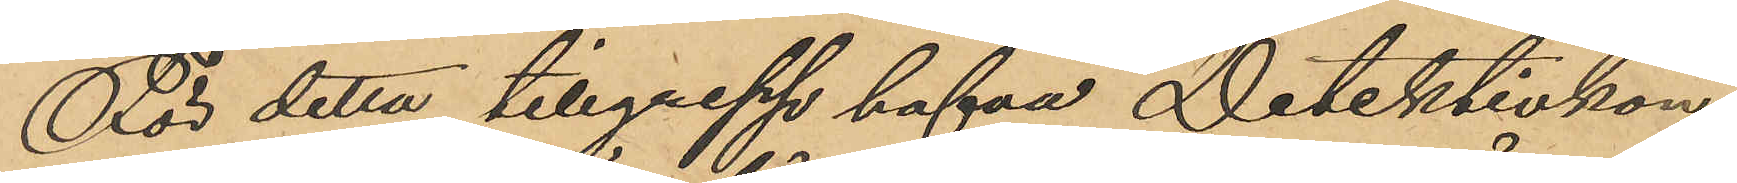För detta tillgrepp hafva Detektivkon¬
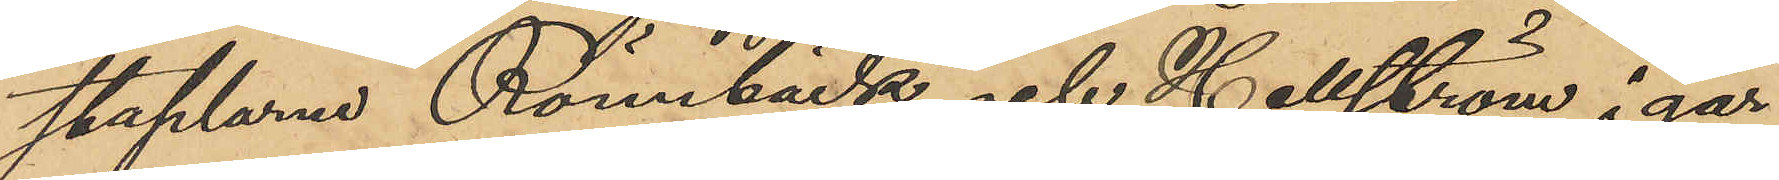staplarne Rönnbäck och Hellström i går
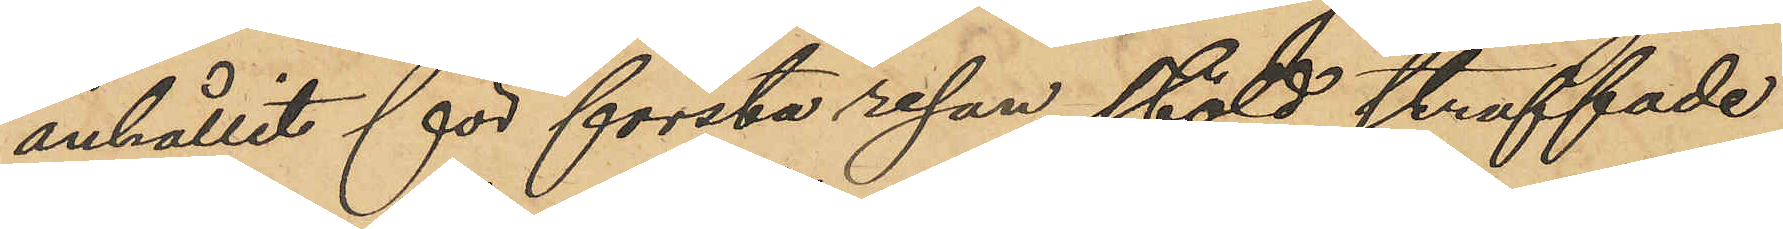anhållit för första resan stöld straffade
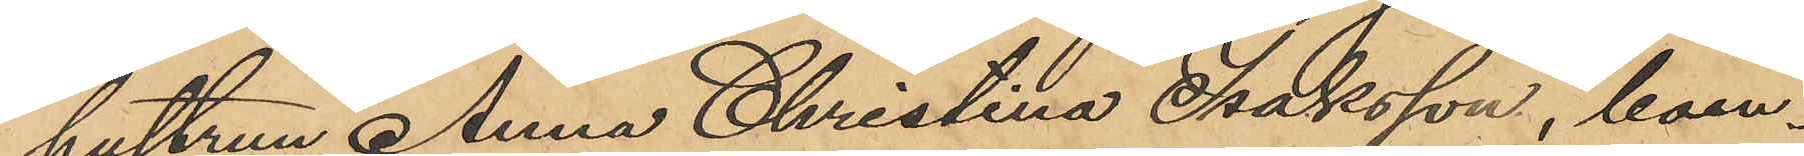hustrun Anna Christina Isaksson, boen¬
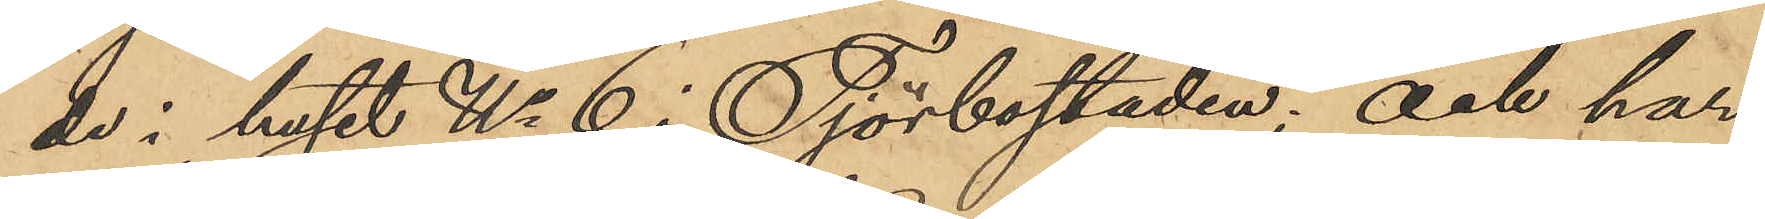de i huset No 6 i Tjörbostaden; och har
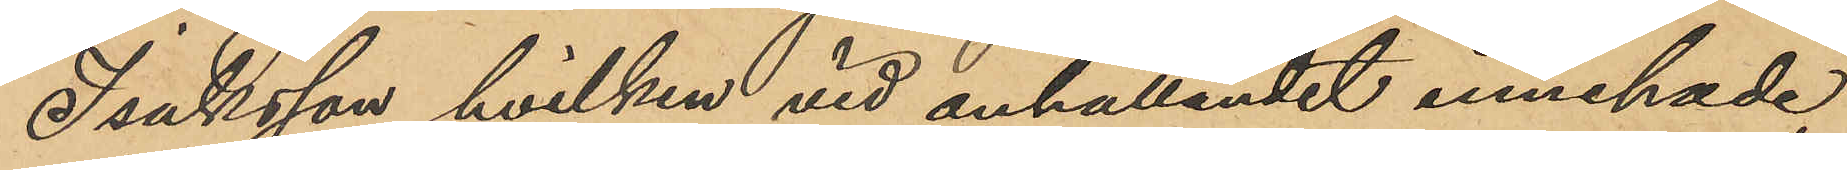Isaksson, hvilken vid anhållandet innehade
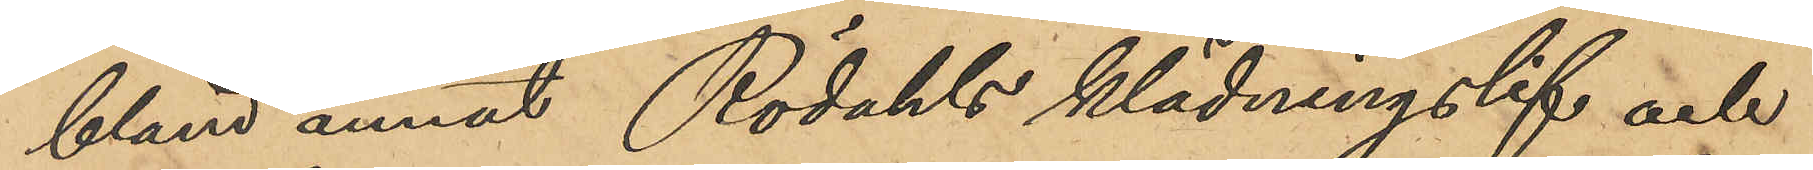bland annat Rödahls klädningslif och
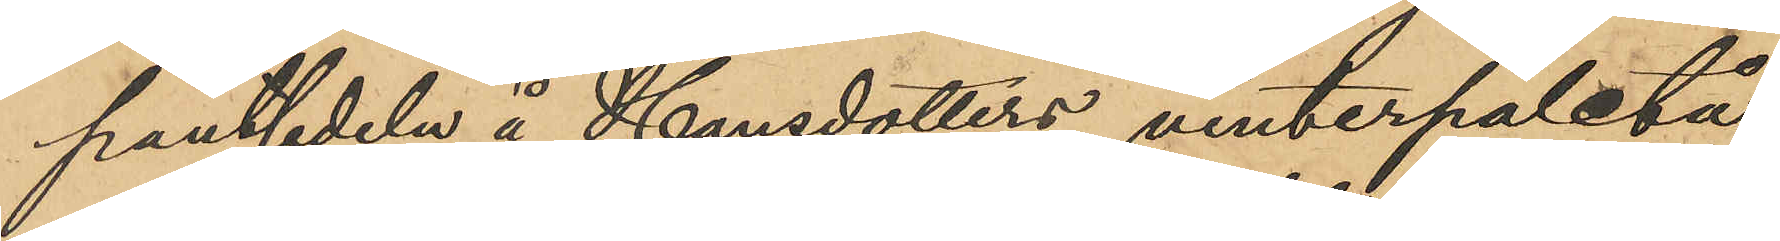pantsedeln å Hansdotters vinterpaletå,
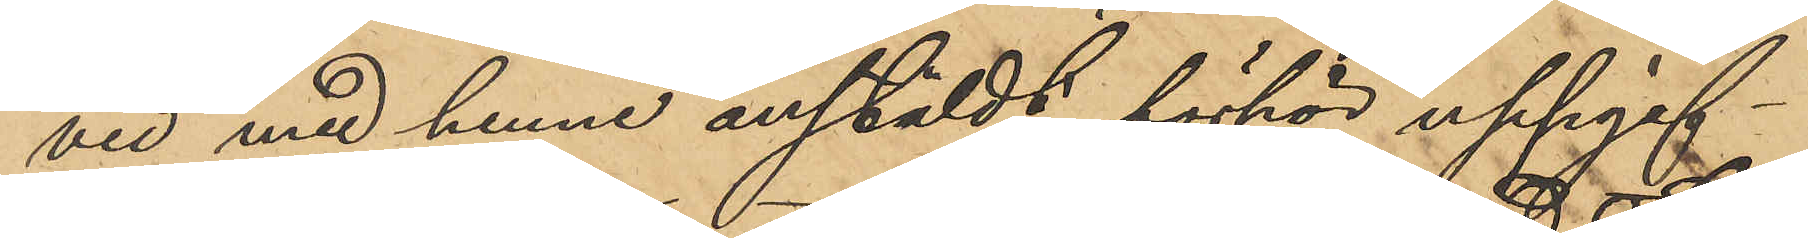vid med henne anstäldt förhör uppgif¬
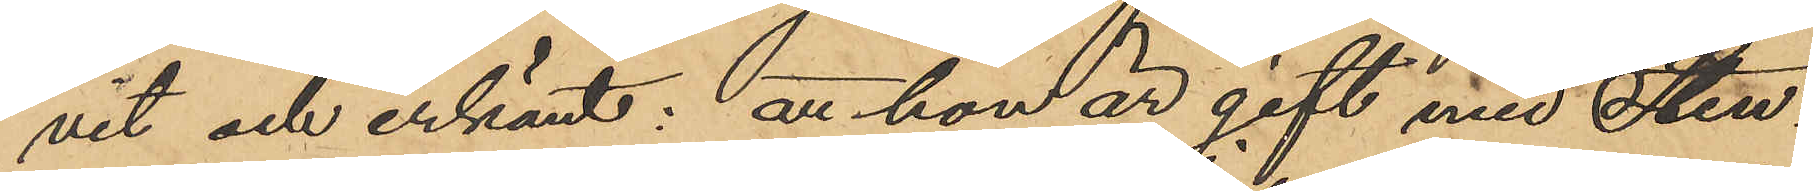vit och erkänt: ätt hon är gift med Sten¬
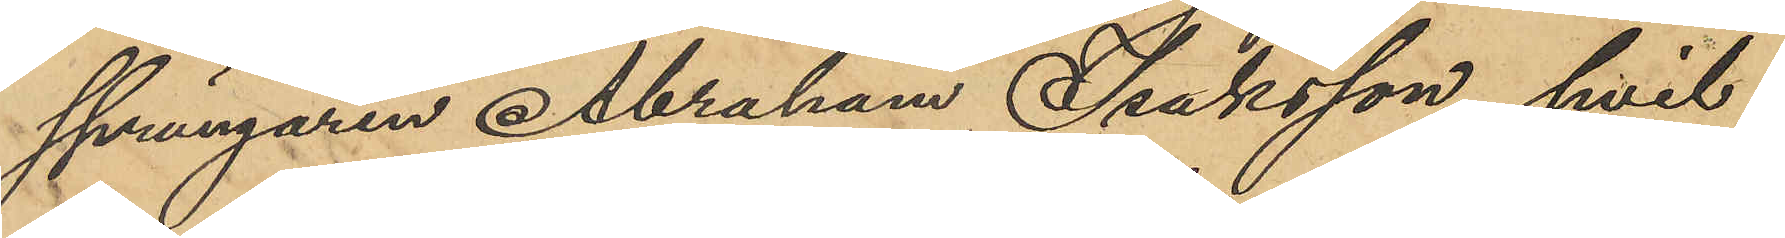sprängaren Abraham Isaksson, hvil¬
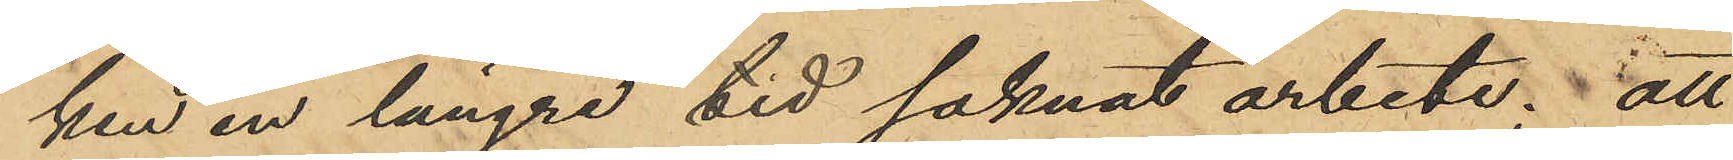ken en längre tid saknat arbete; att
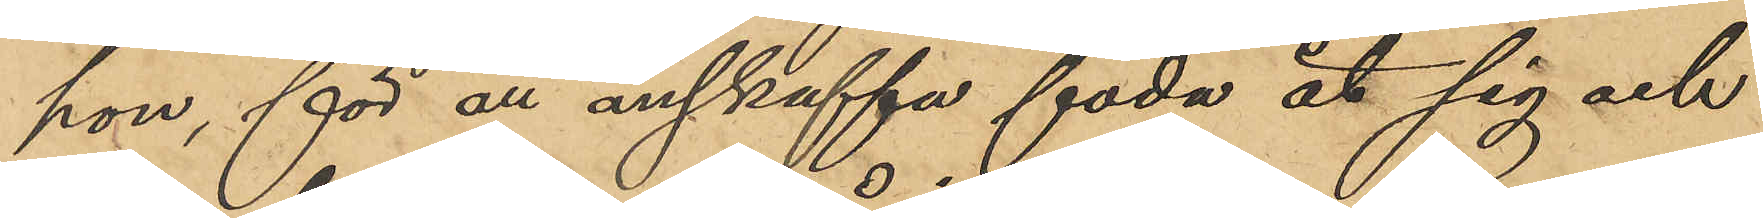hon, för att anskaffa föda åt sig och
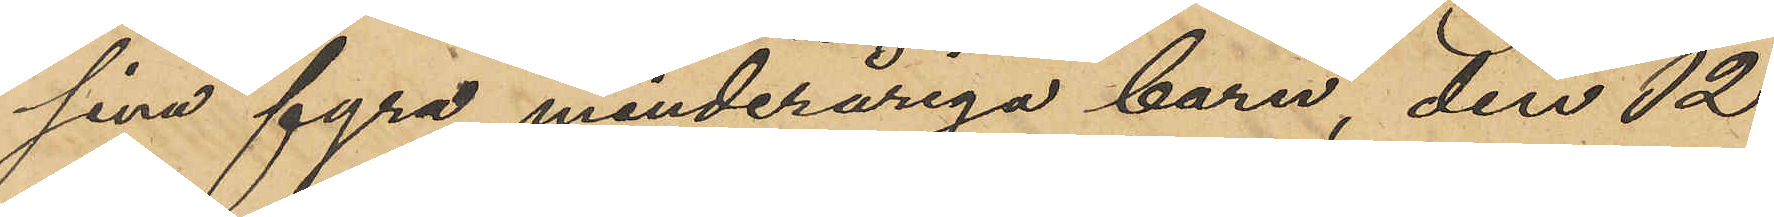sina fyra minderåriga barn, den 12
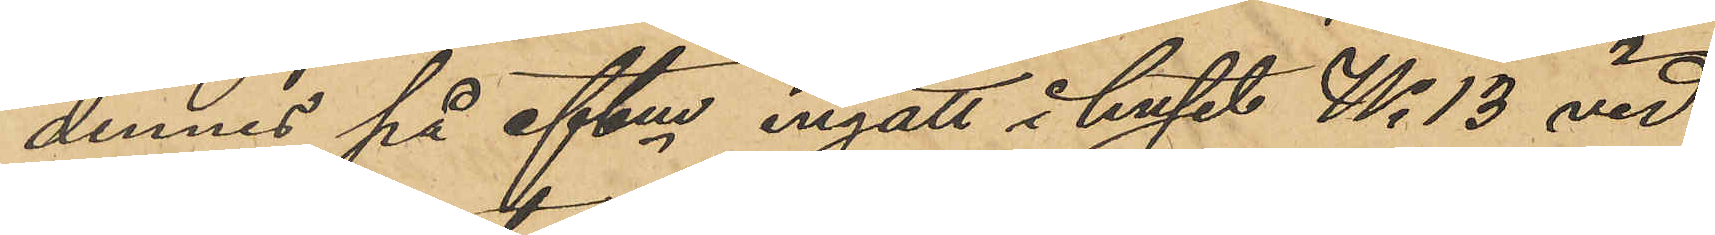dennes på eftm ingått i huset No 13 vid
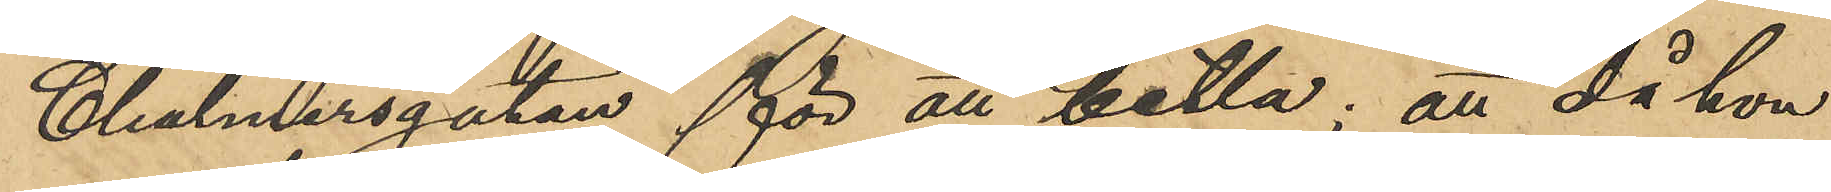Chalmersgatan för all betla; att då hon
